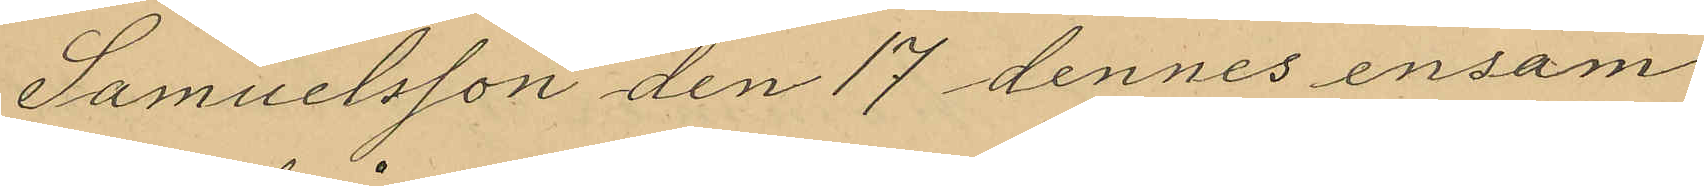Samuelsson den 17 dennes ensam
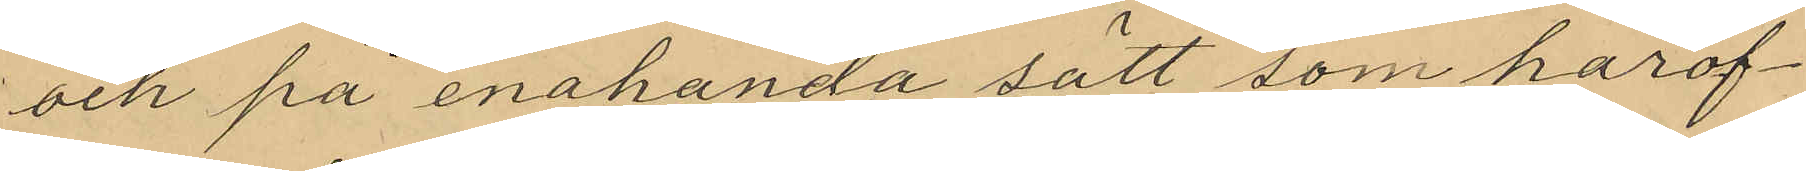och på enahanda sätt som härof¬
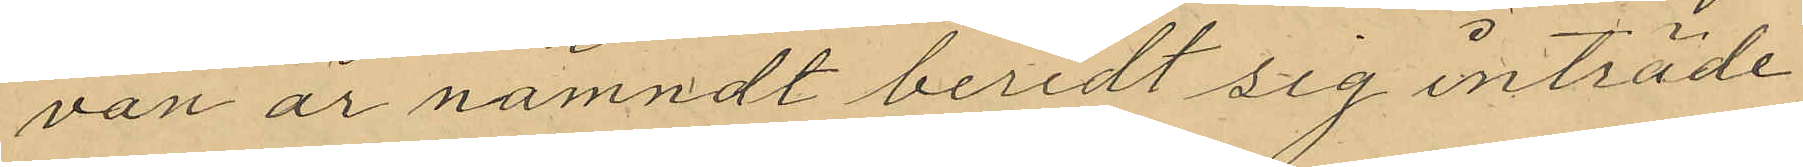van är nämndt beredt sig inträde
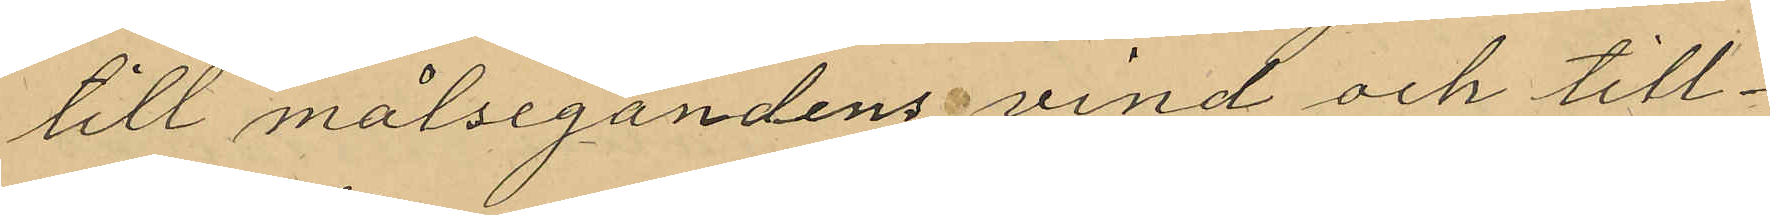till målsegandensvind och till¬
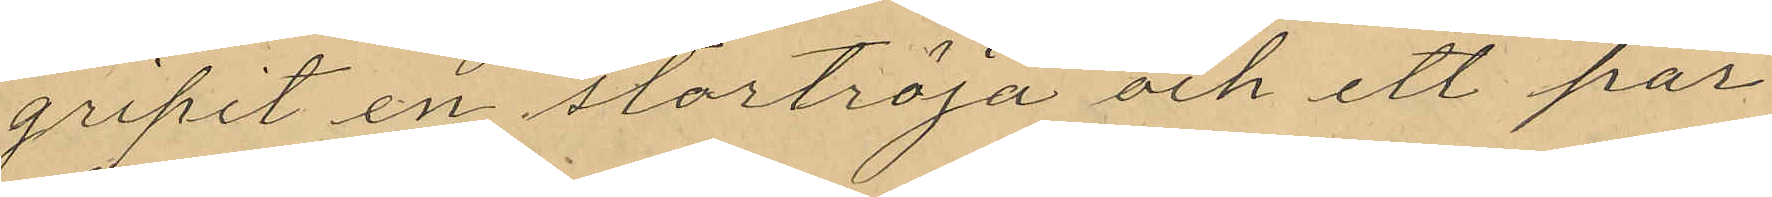gripit en stortröja och ett par
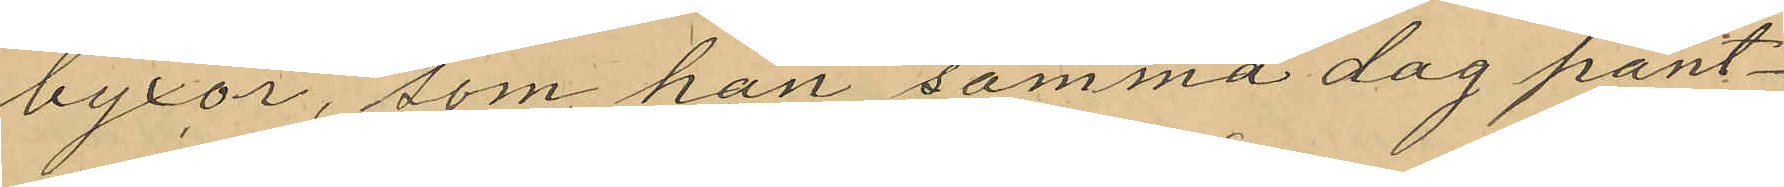byxor, som han samma dag pant¬
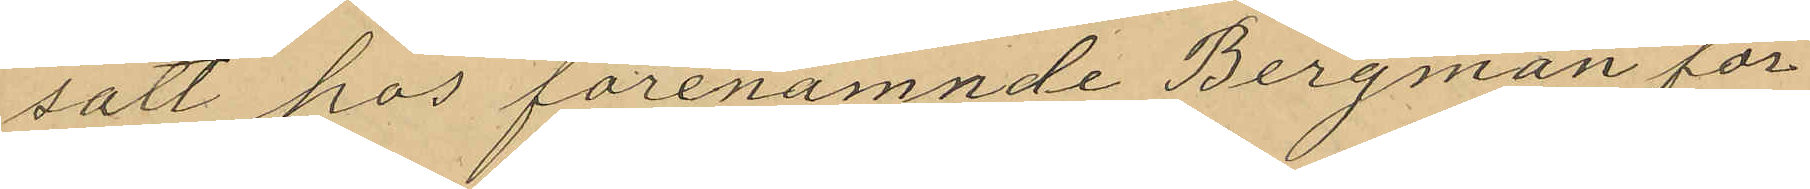satt hos förenämnde Bergman för
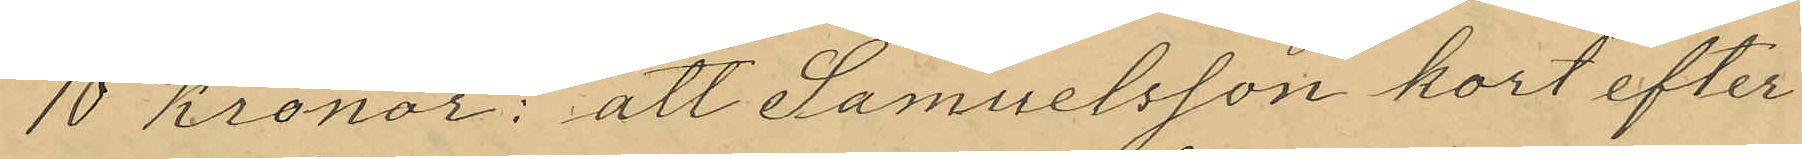10 Kronor; att Samuelsson kort efter
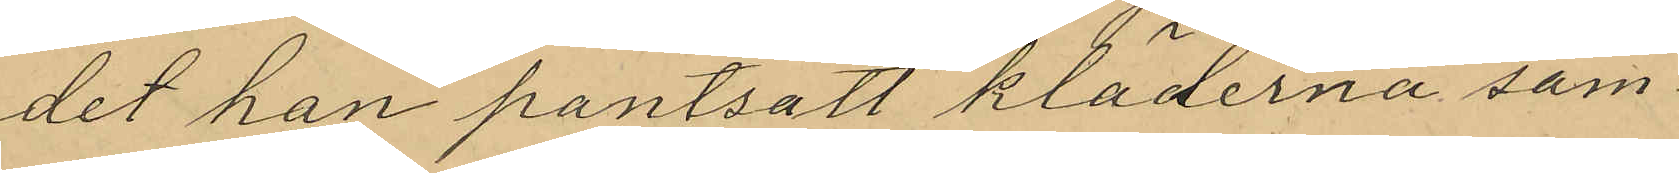det han pantsatt kläderna sam¬
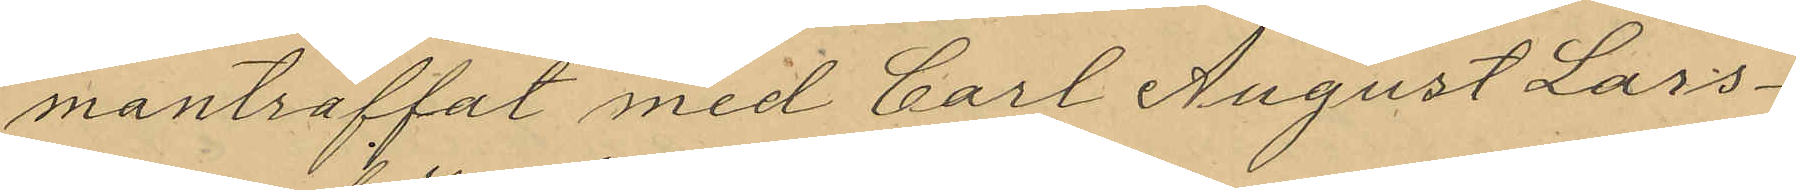manträffat med Carl August Lars¬
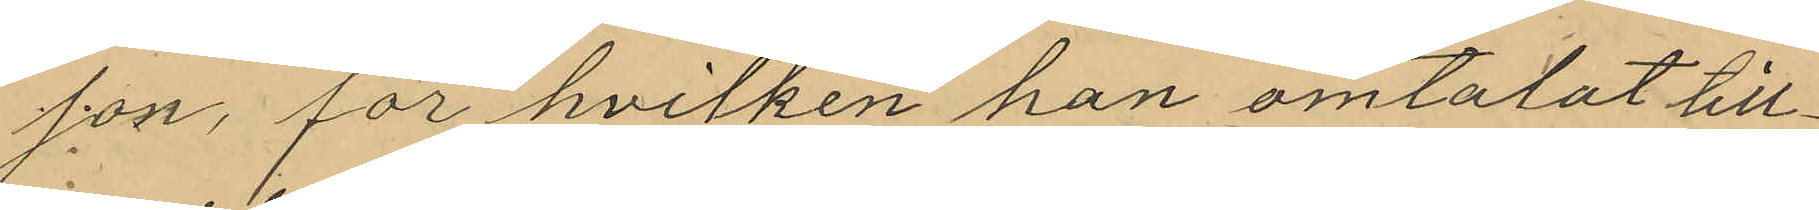son, för hvilken han omtalat till¬
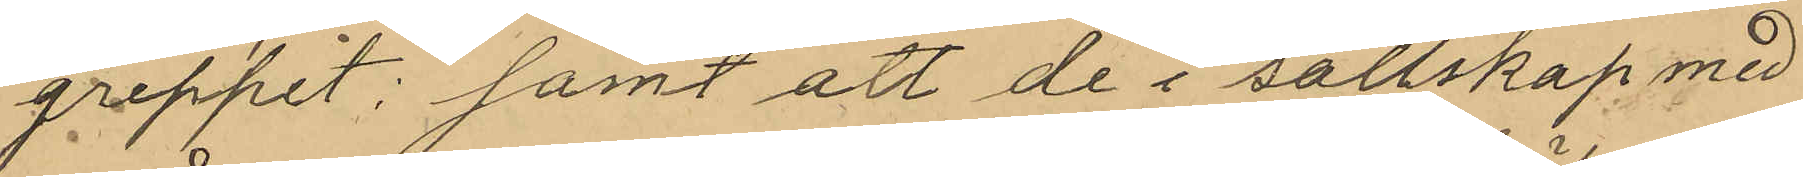greppet; samt att de i sällskap med
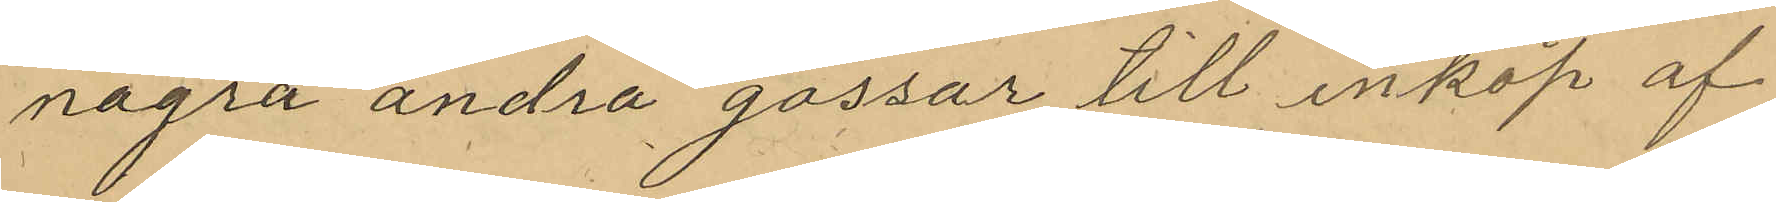några andra gossar till inköp af
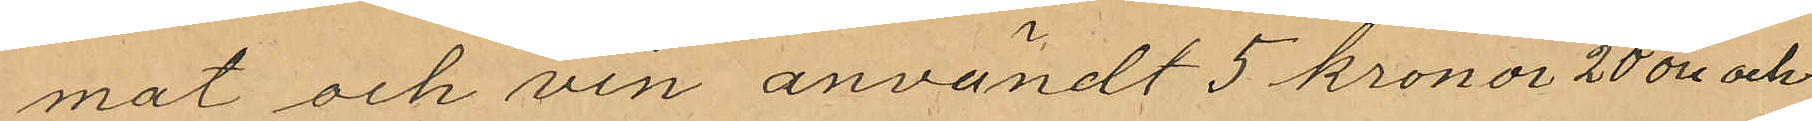mat och vin användt 5 kronor 20 öre och
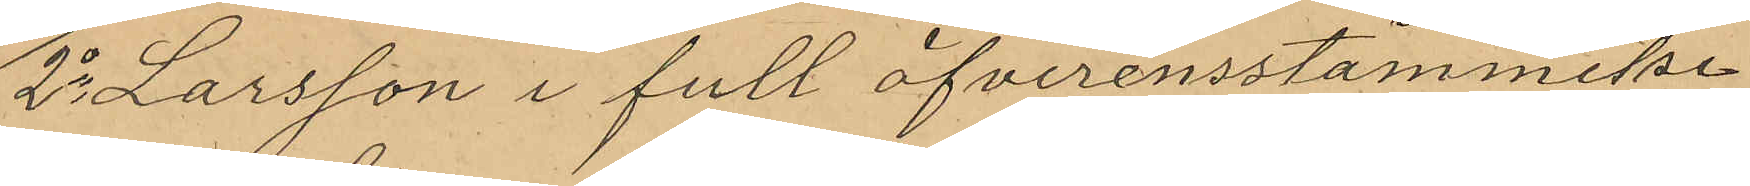2o Larsson i full öfverensstämmelse
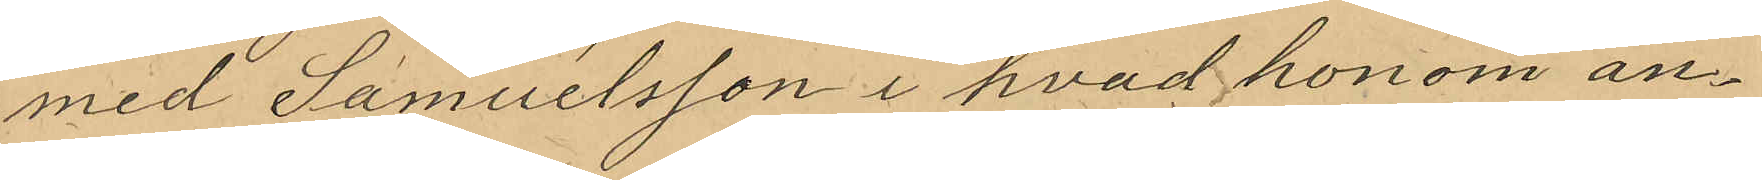med Samuelsson i hvad honom an¬
